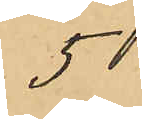5
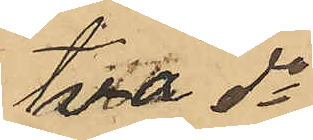två do
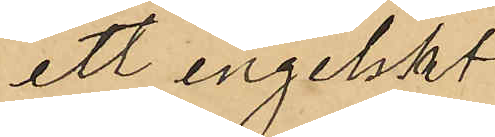ett engelskt
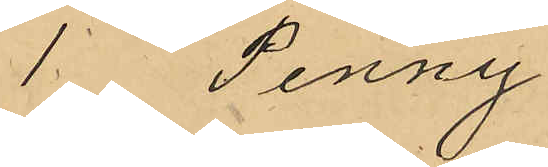1 Penny
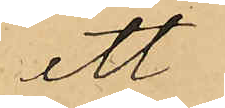ett
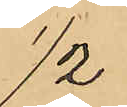1/2
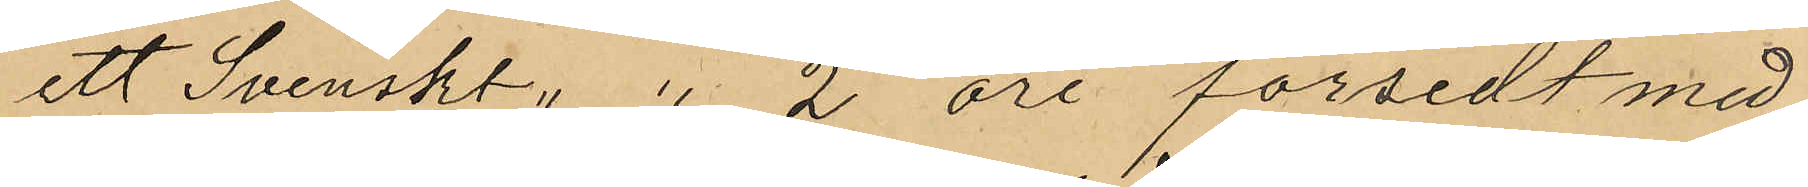ett svenskt " " 2 öre försedt med
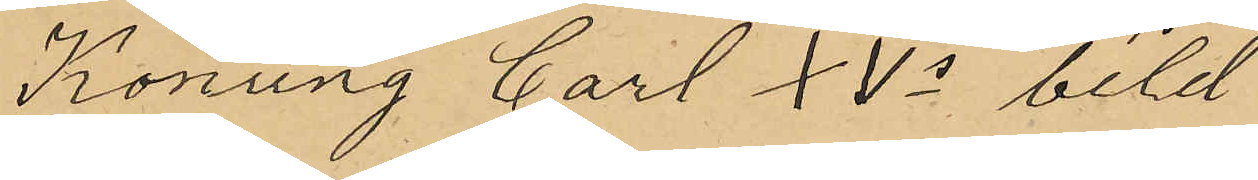Konung Carl XVs bild
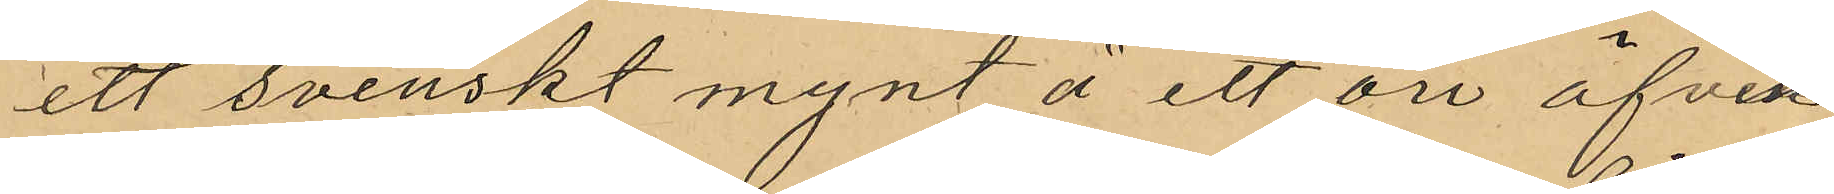ett svenskt mynt å ett öre äfven¬
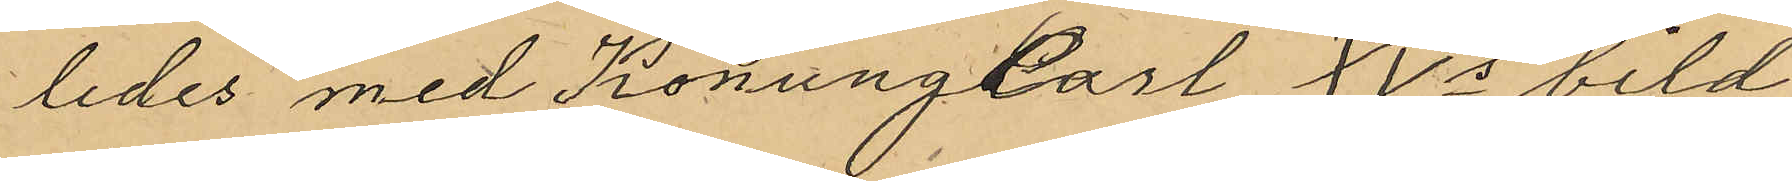ledes med Konung Carl XVs bild
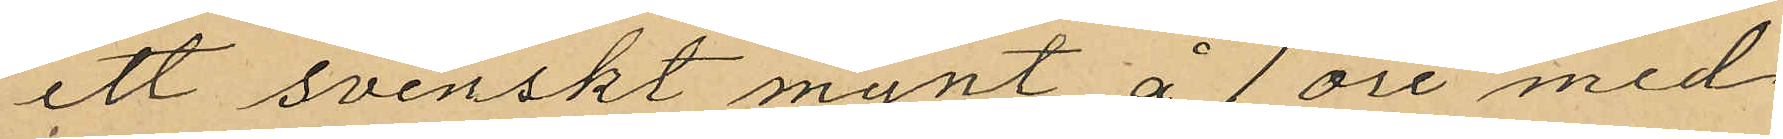ett svenskt mynt å 1 öre med
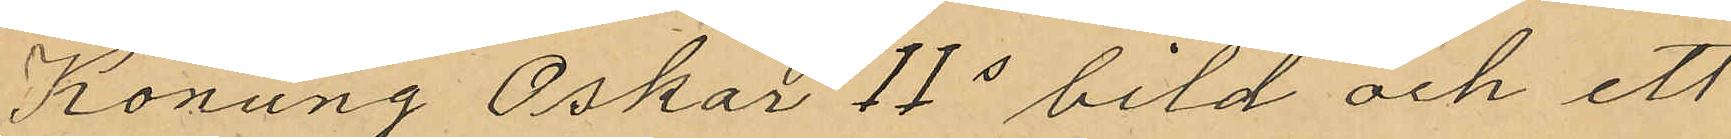Konung Oskar IIs bild och ett
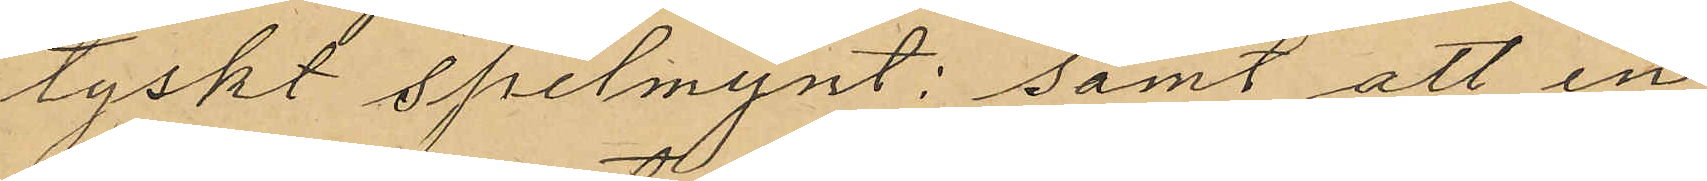tyskt spelmynt; samt att in¬
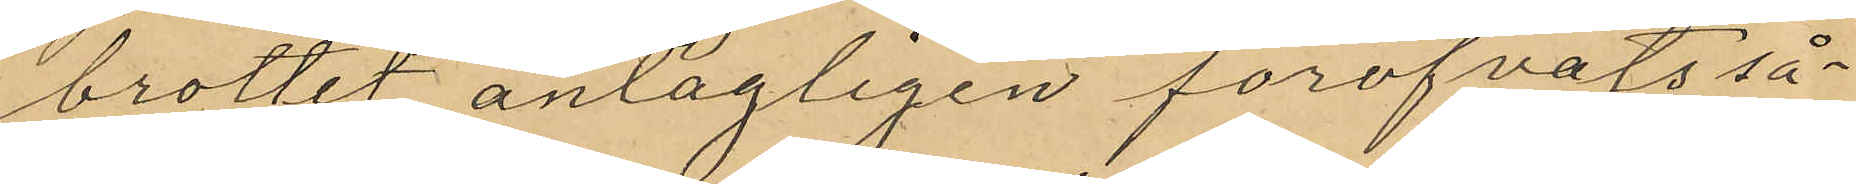brottet antagligen föröfvats så¬
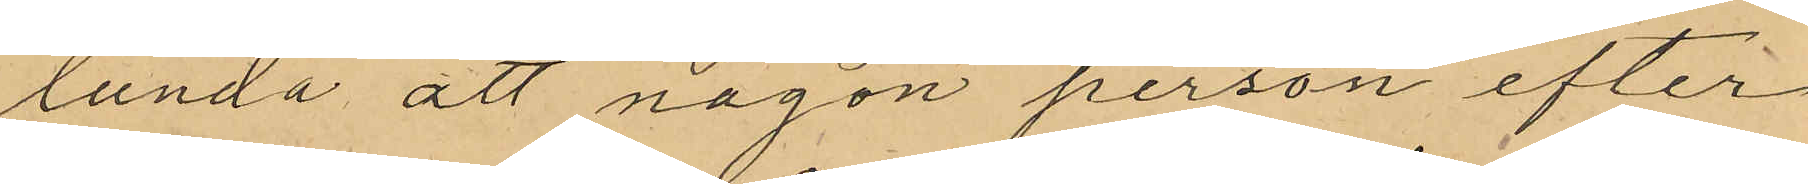lunda att någon person efter
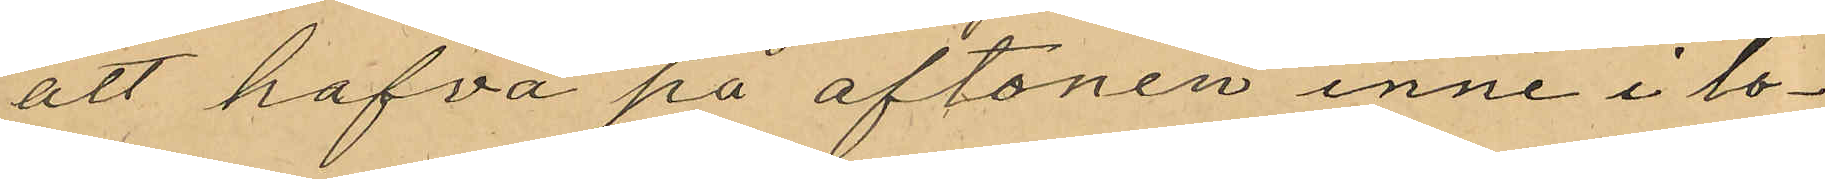att hafva på aftonen inne i lo¬
